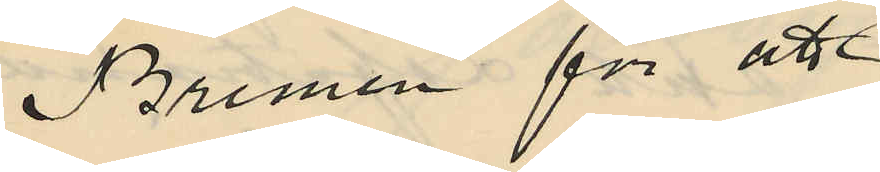Bremen för att
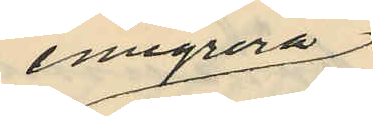emigrera
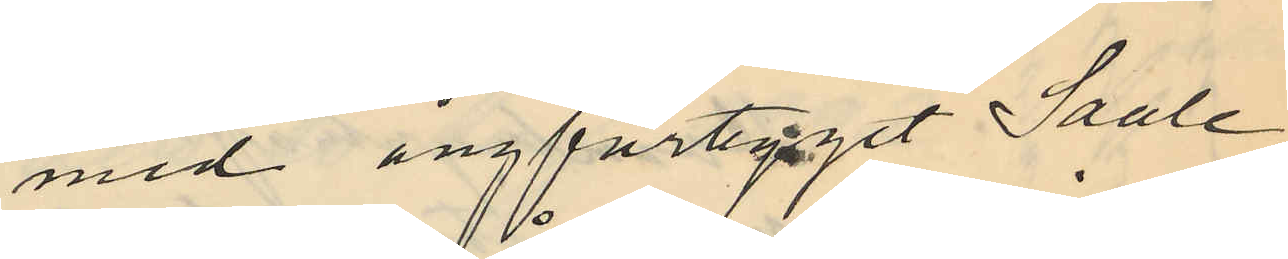med ångfartyget Saale,
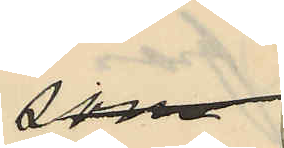som
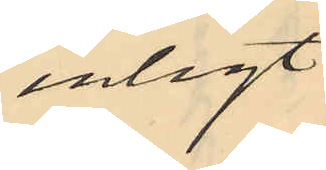enligt
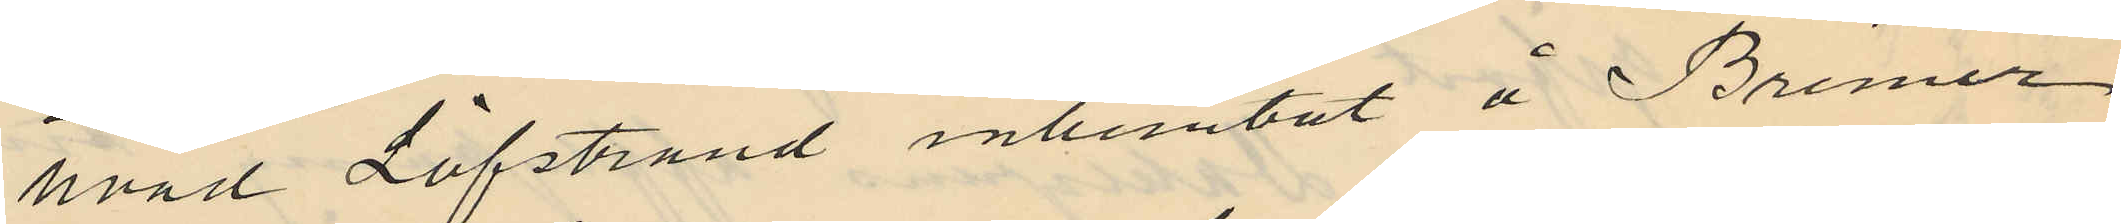hvad Löfstrand inhemtat å Bremer
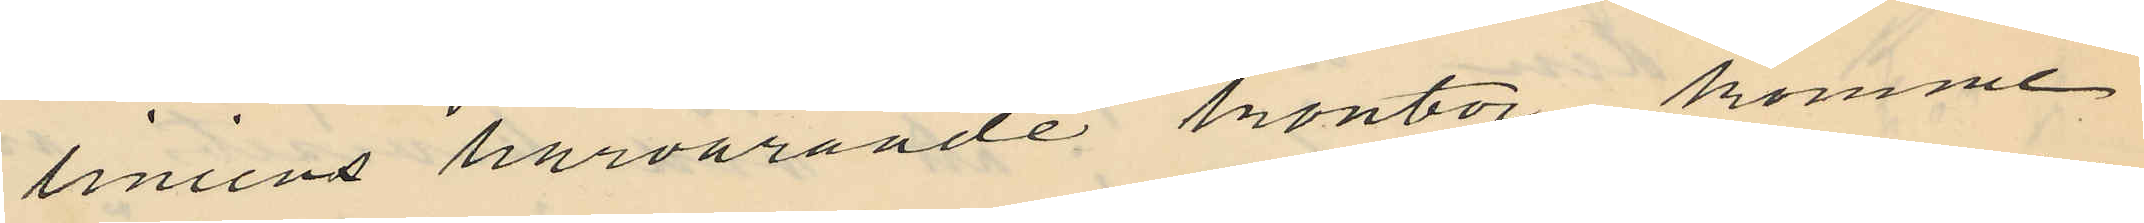liniens härvarande kontor, komme
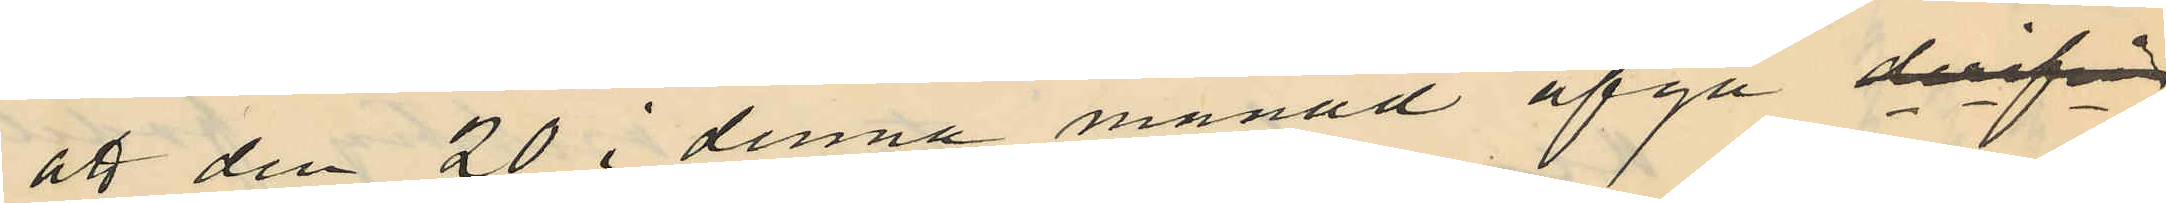att den 20 i denna månad afgå derifrå
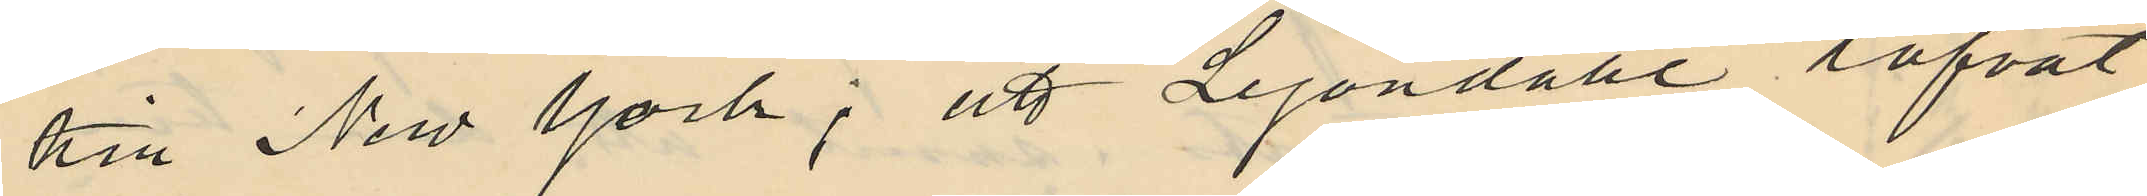till New York; att Lejondahl lofvat
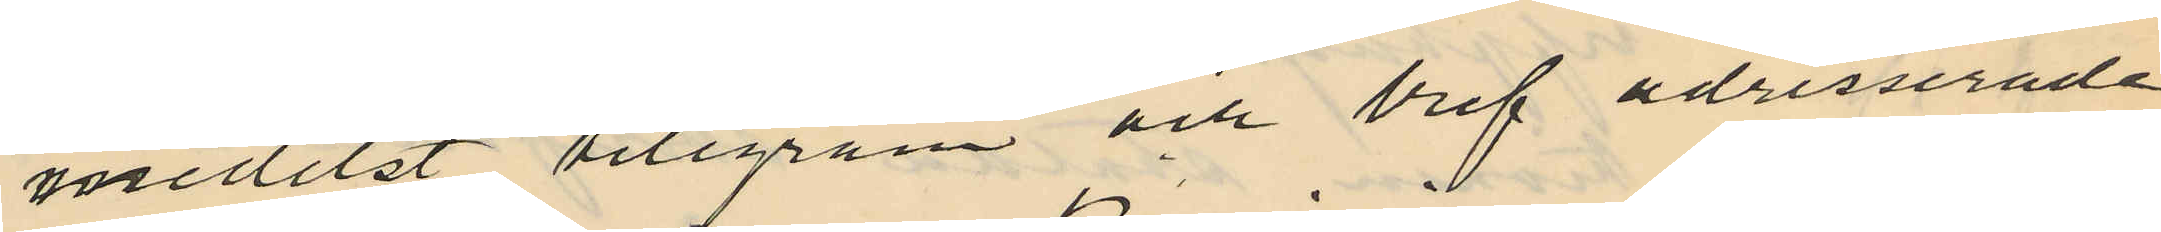mededelst telegram och bref adresserade
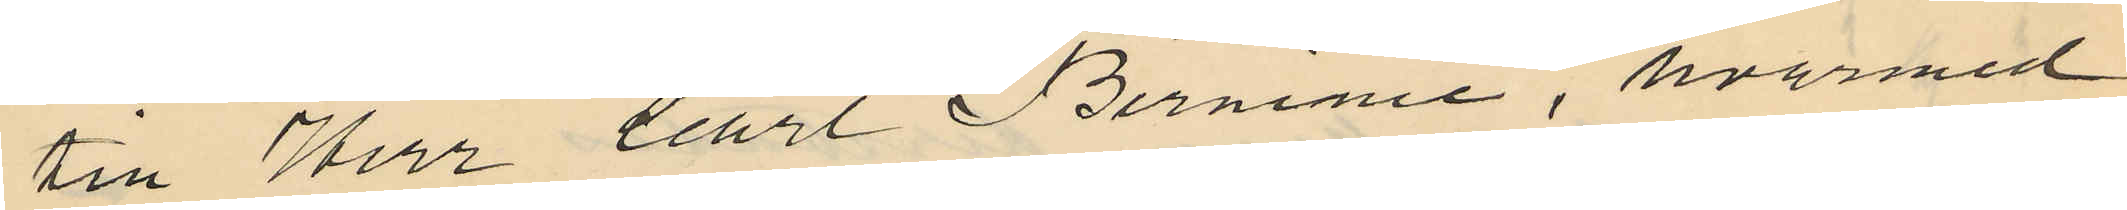till Herr Carl Berninie, hvarmed
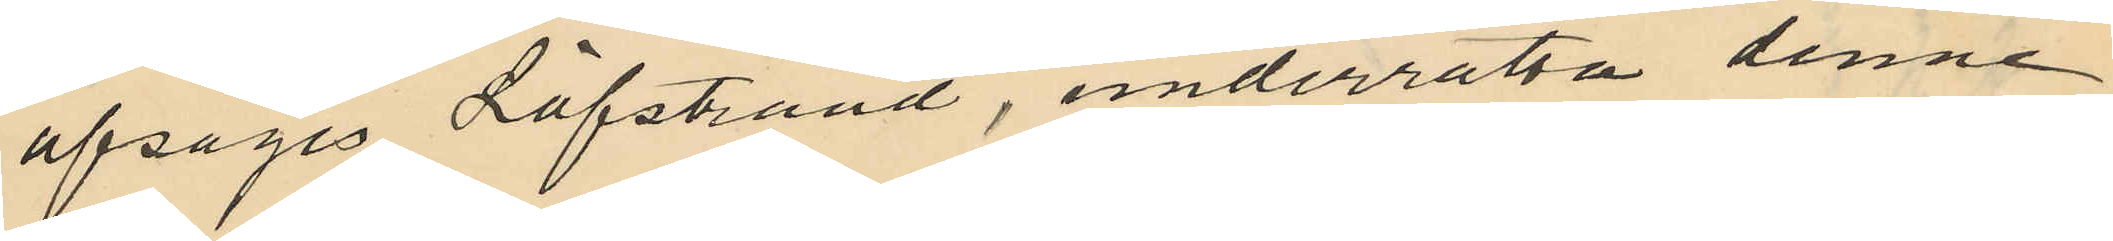afsåges Löfstrand, underrätta denne
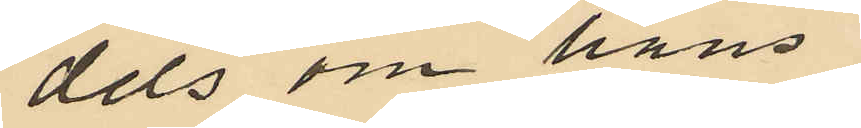dels om hans
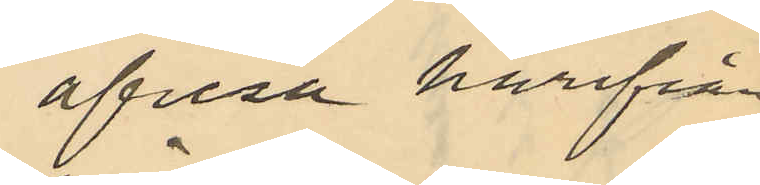afresa härifrån
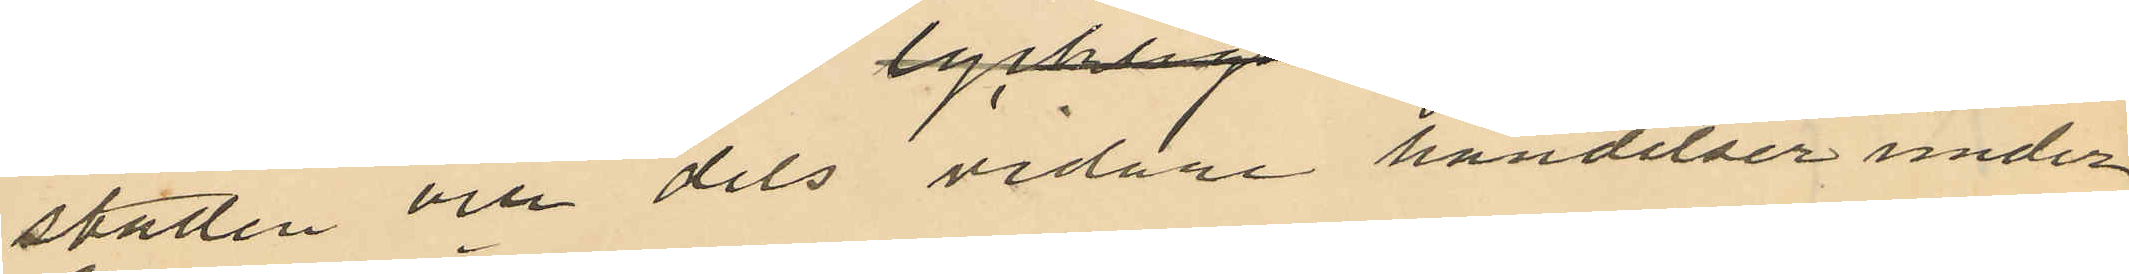staden och dels vidare händelser under
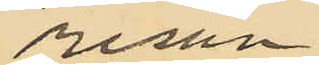resan
